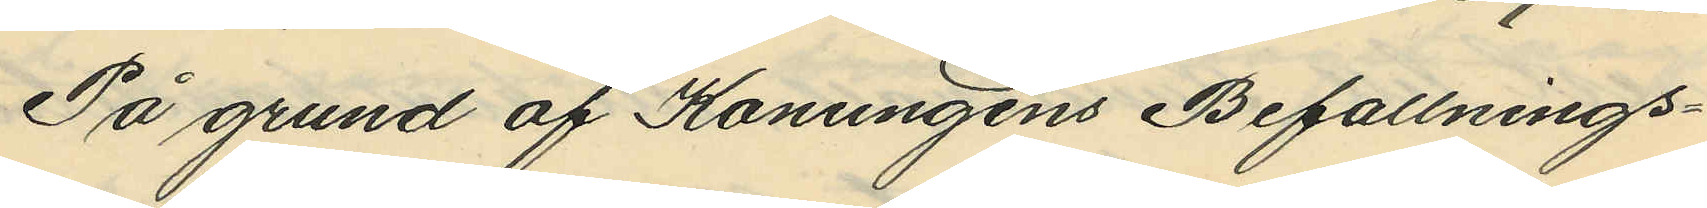På grund af Konungens Befallnings¬
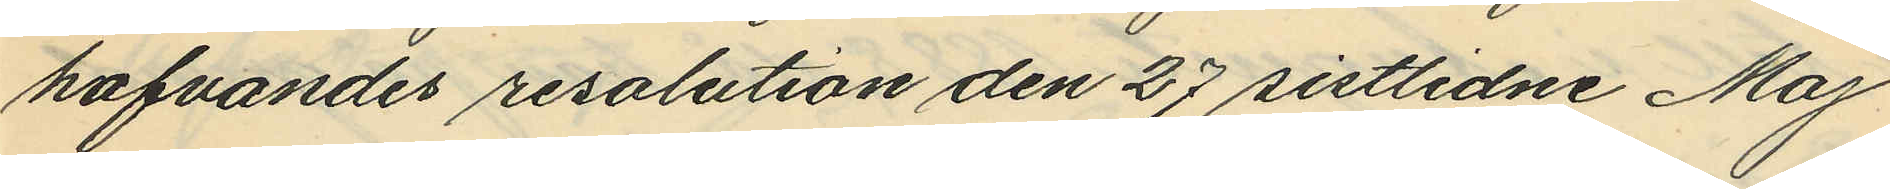hafvandes resolution den 27 sistlidne Maj
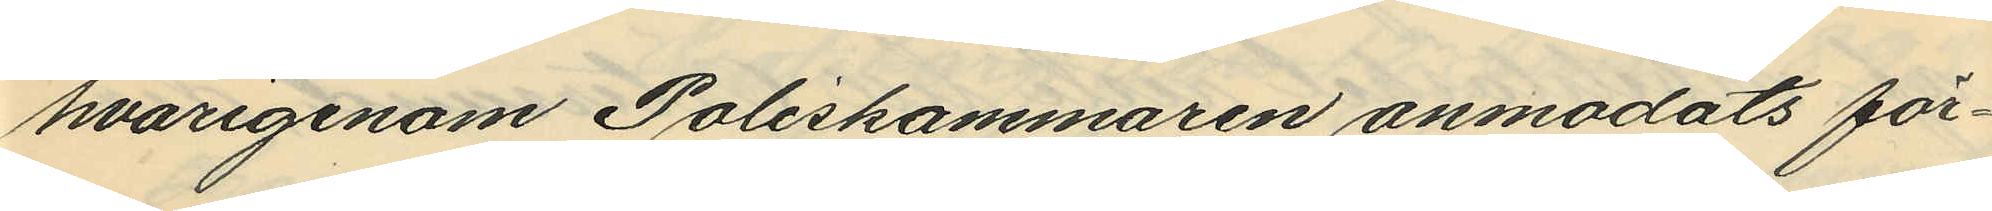hvarigenom Poliskammaren anmodats för¬
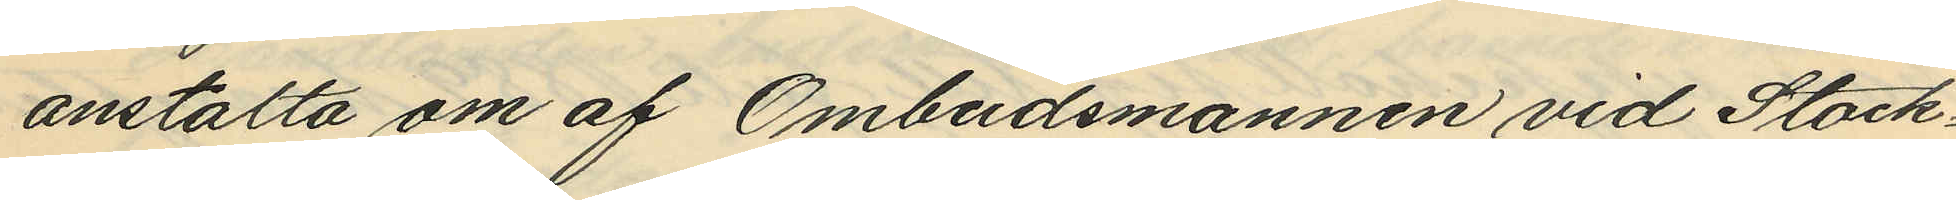anstalta om af Ombudsmannen vid Stock¬
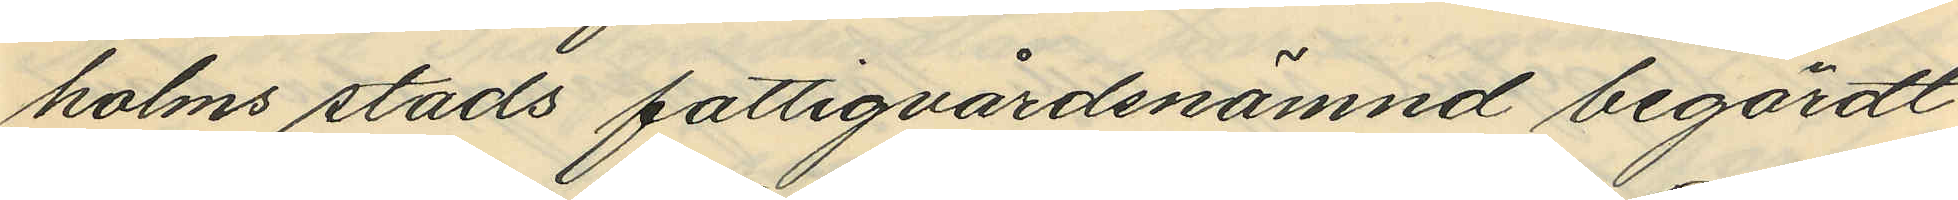holms stads fattigvårdsnämnd begärdt
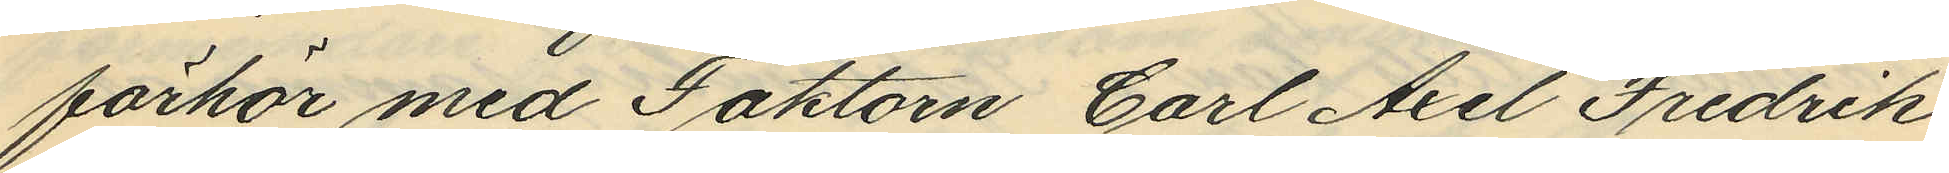förhör med Faktorn Carl Axel Fredrik
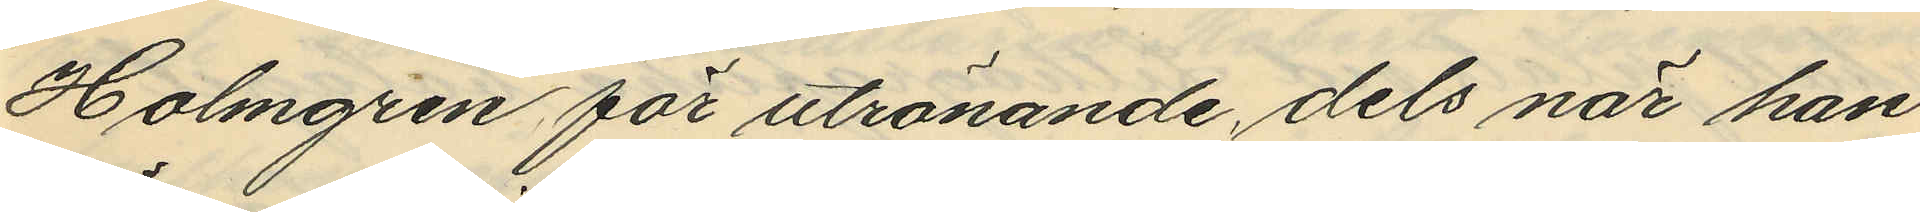Holmgren för utrönande, dels när han
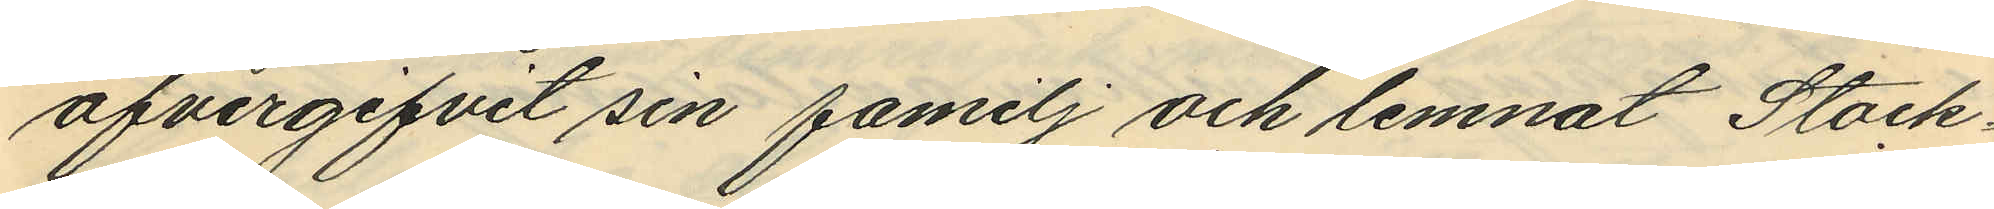öfvergifvit sin familj och lemnat Stock
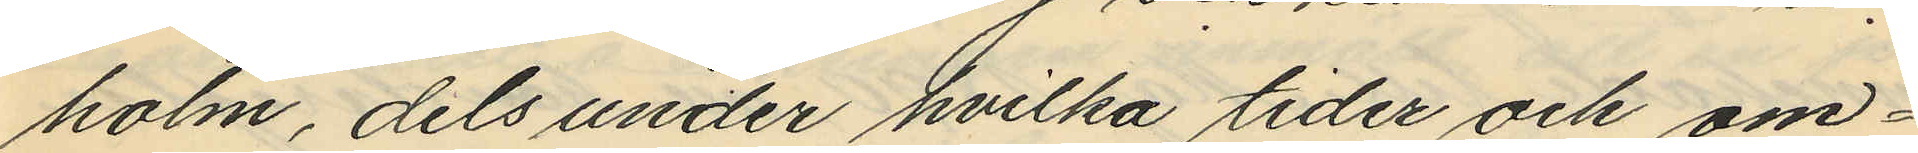holm, dels under hvilka tider och om¬
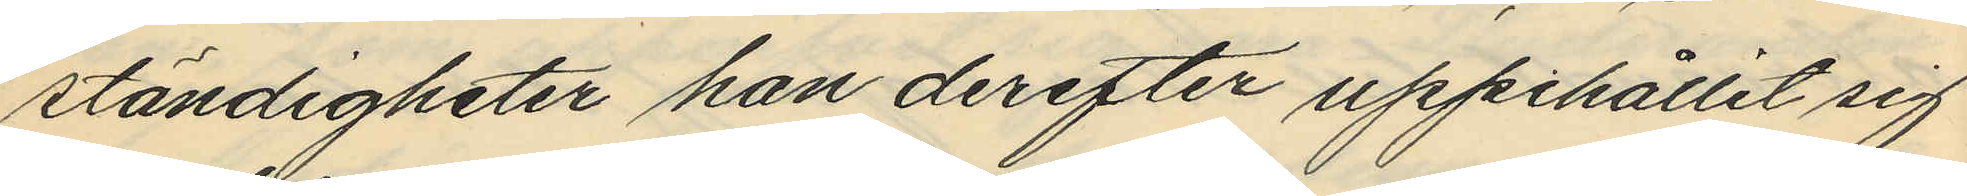ständigheter han derefter uppehållit sig
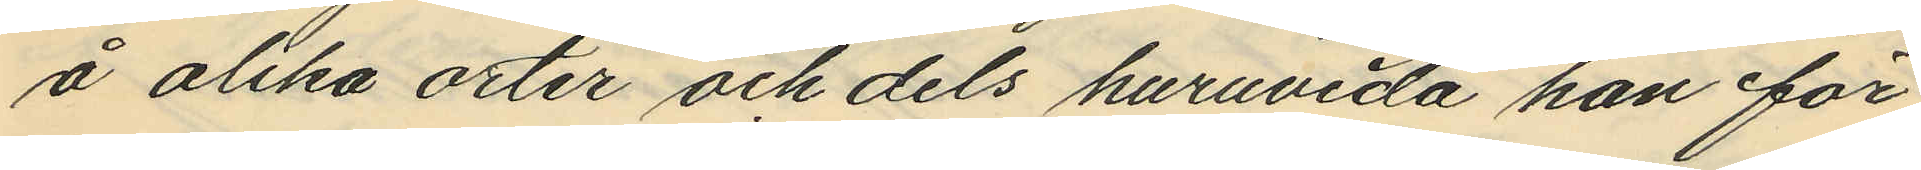å olika orter och dels huruvida han för
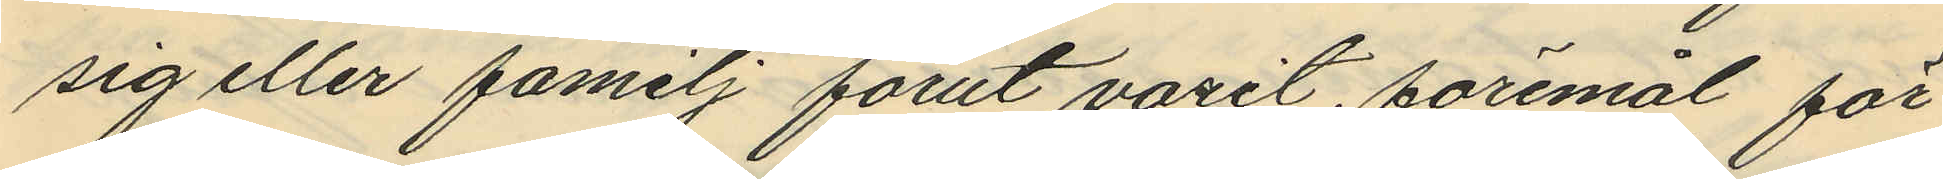sig eller familj förut varit föremål för
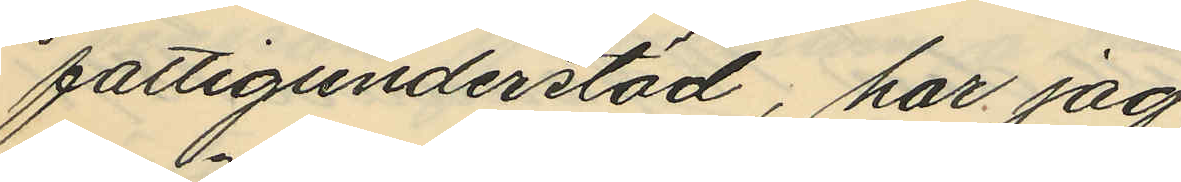fattigunderstöd, har jag
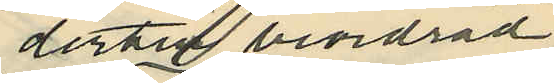dertill beordrad
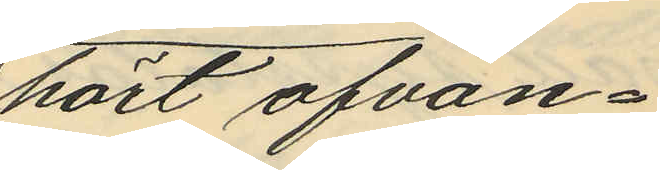hört ofvan¬
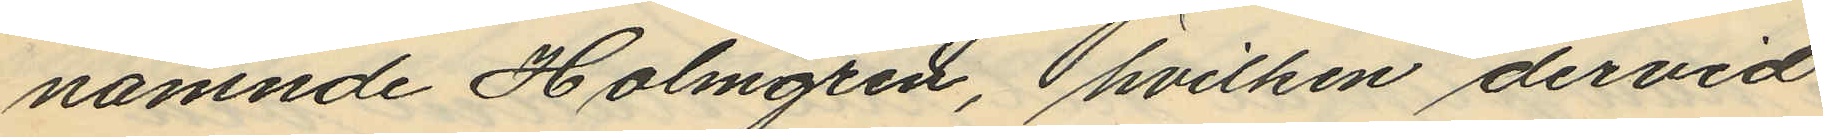nämnde Holmgren, hvilken dervid
